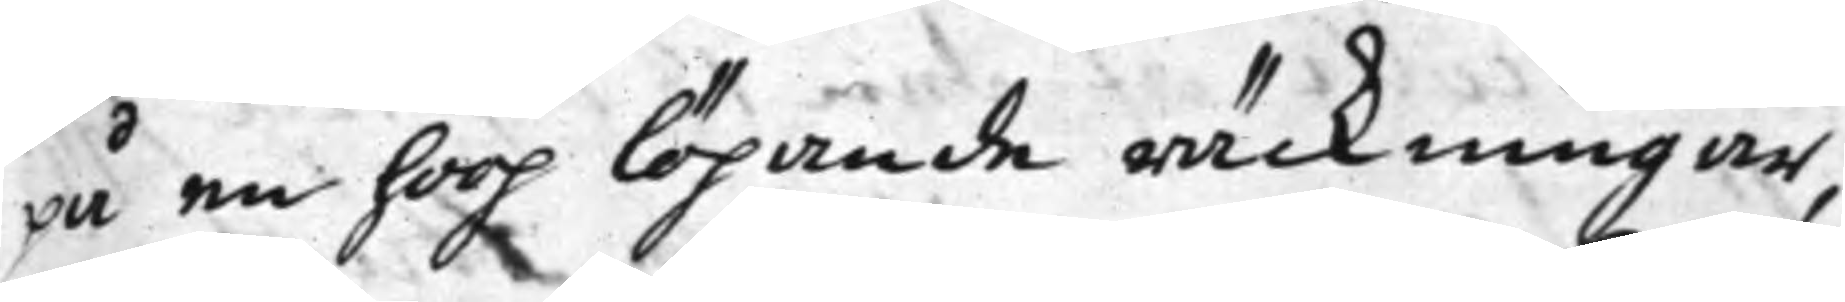på en hoop löpande räckningar,
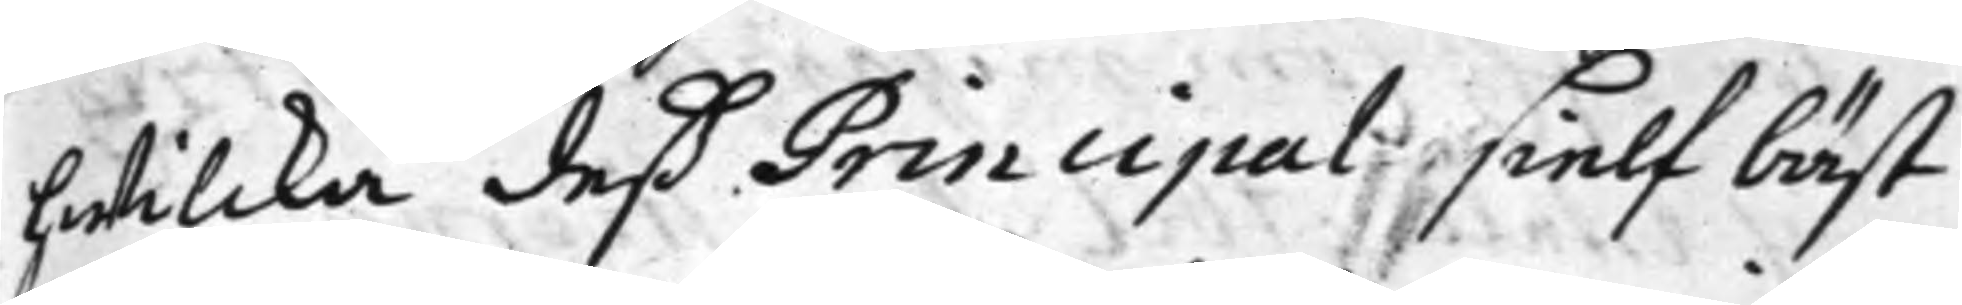hwilcka deß Principal sielf bäst
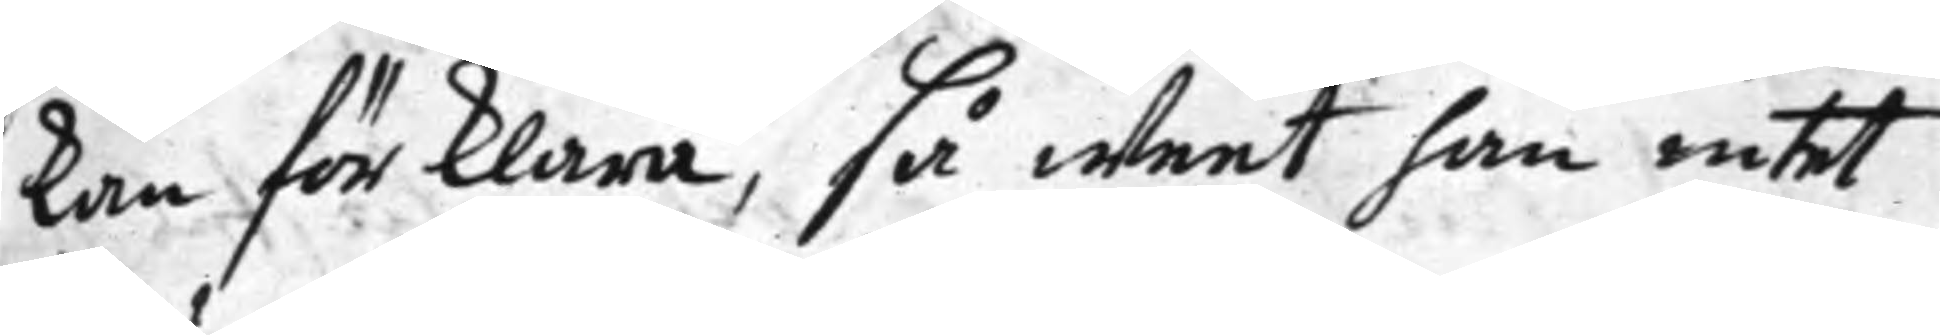kan förklara, så weet han intet
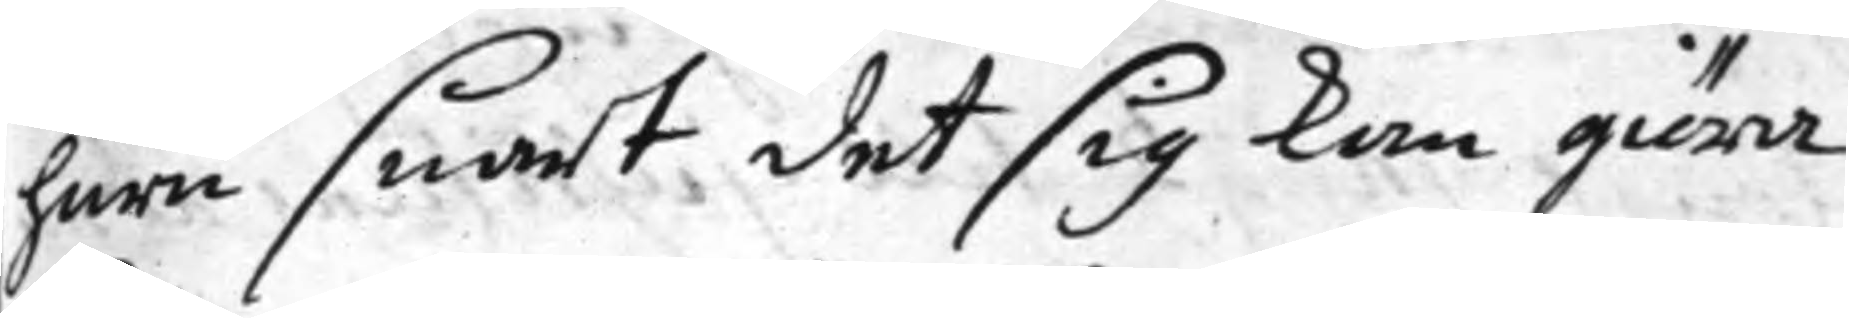huru snart det sig kan giöra
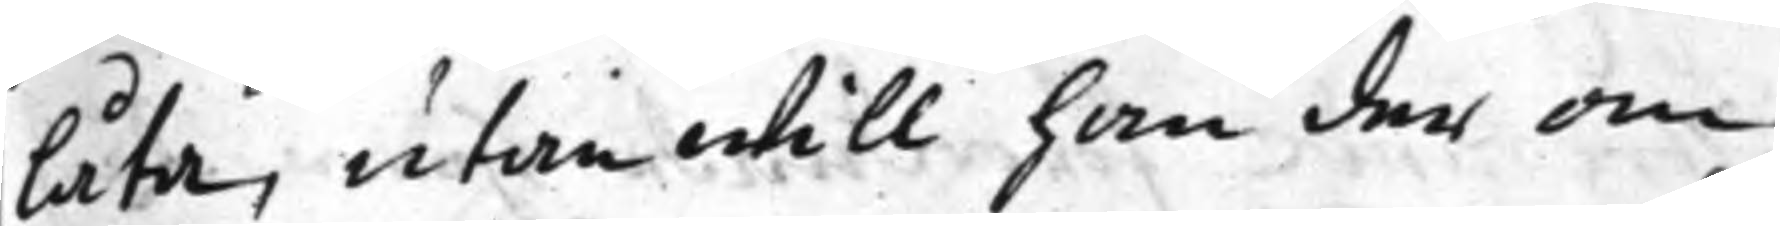låta, utan will han der om
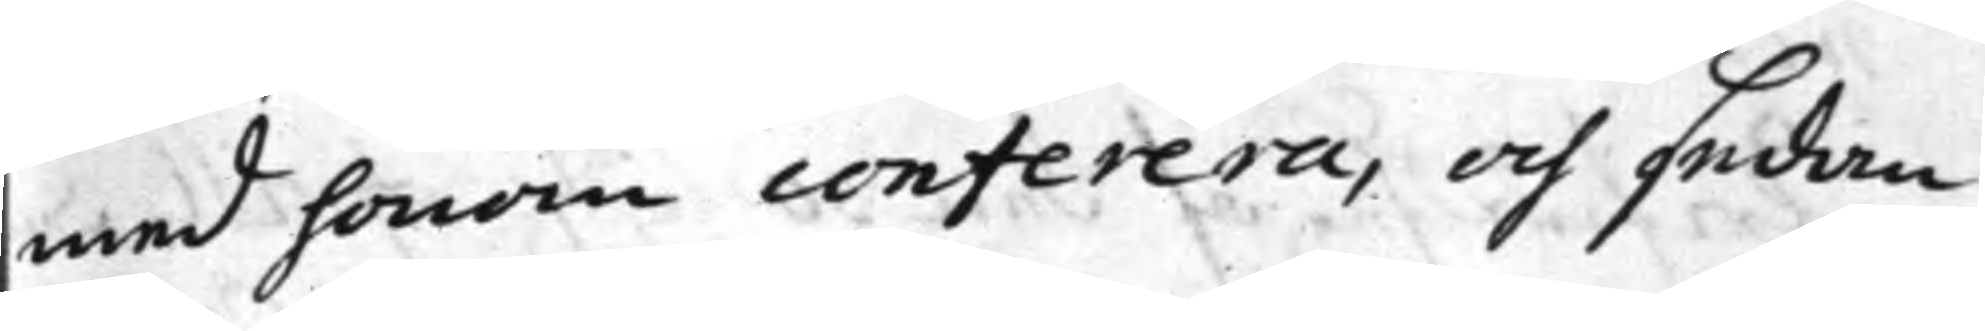med honom conferera, och sedan
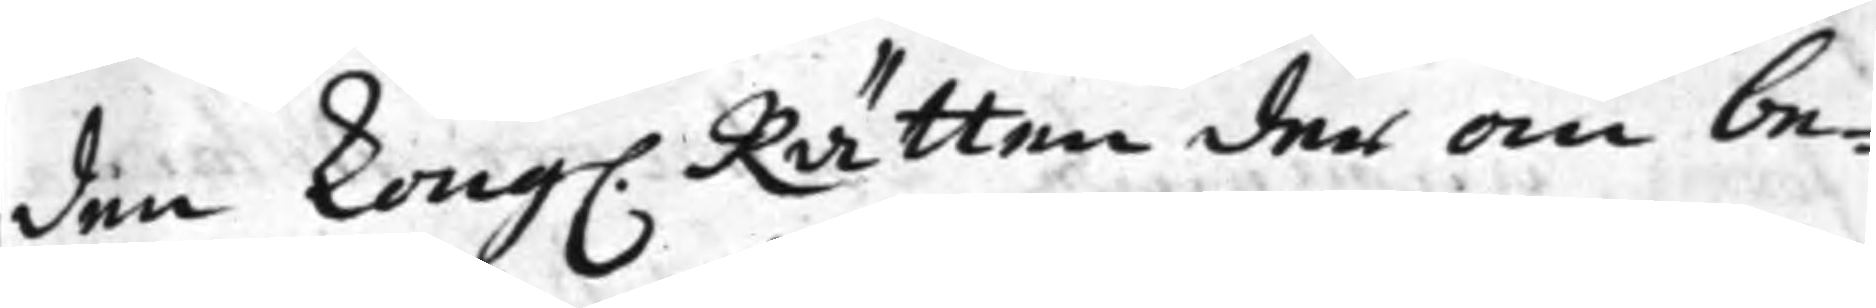den Kong. Rätten der om be¬
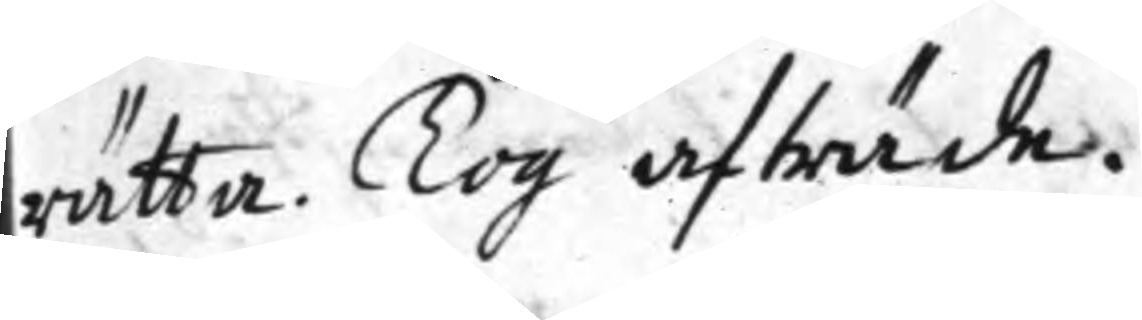rätta. Tog afträde.
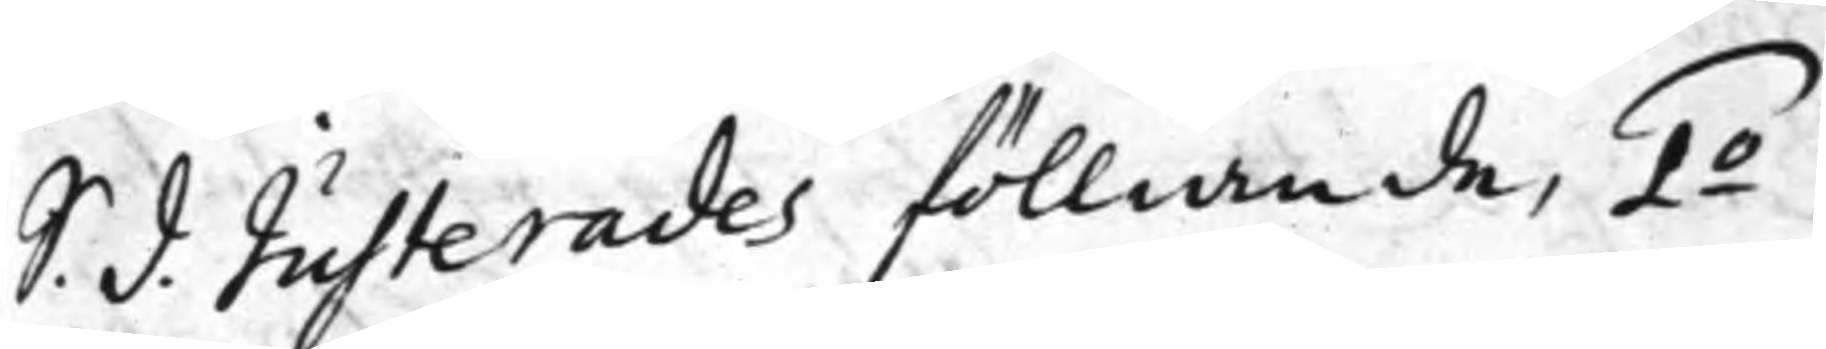S. d. Justerades fölliande, 1.o
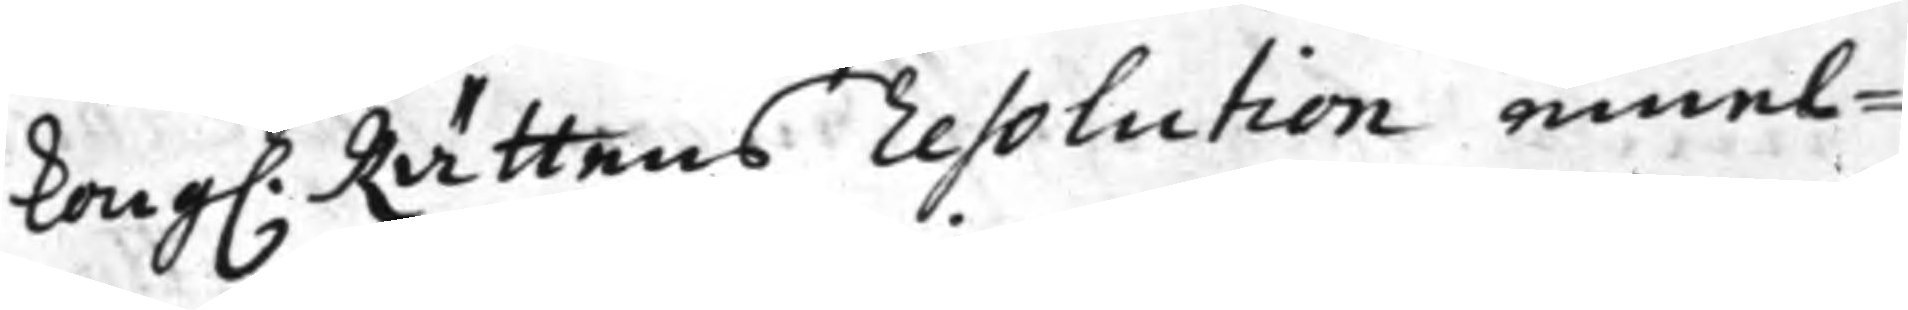Kong. Rättens resolution emel¬
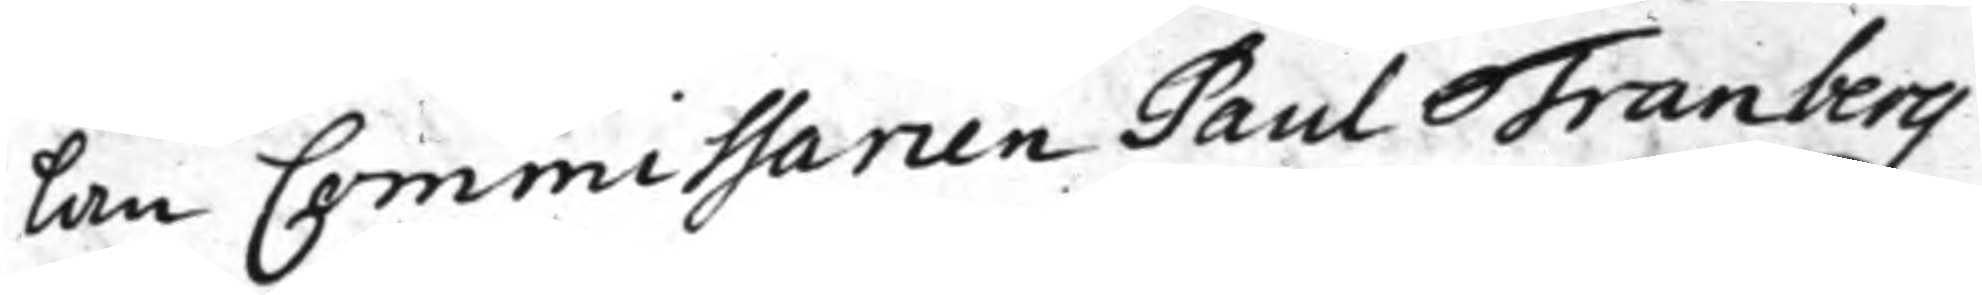lan Commissarien Paul Tranberg
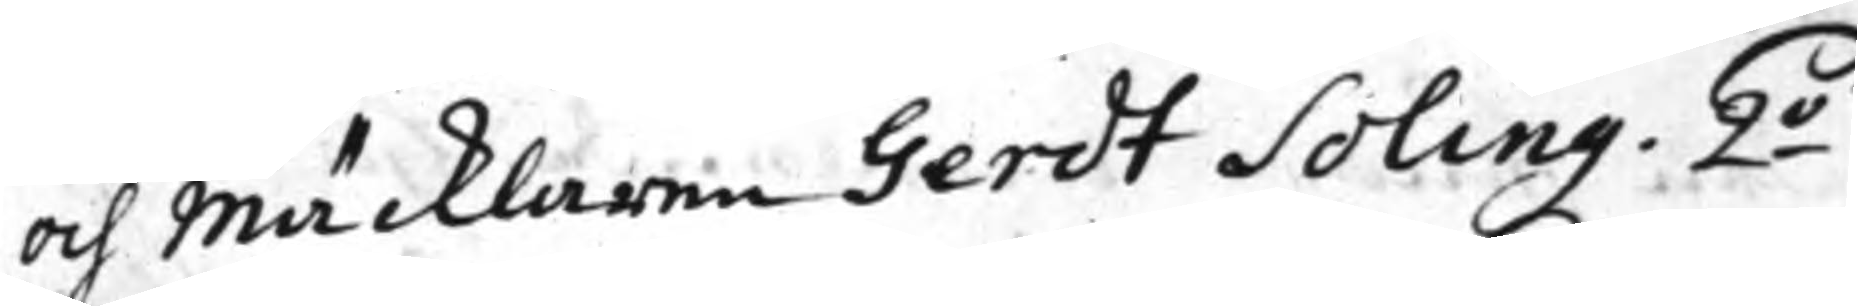och Mäcklaren Gerdt Soling. 2.o
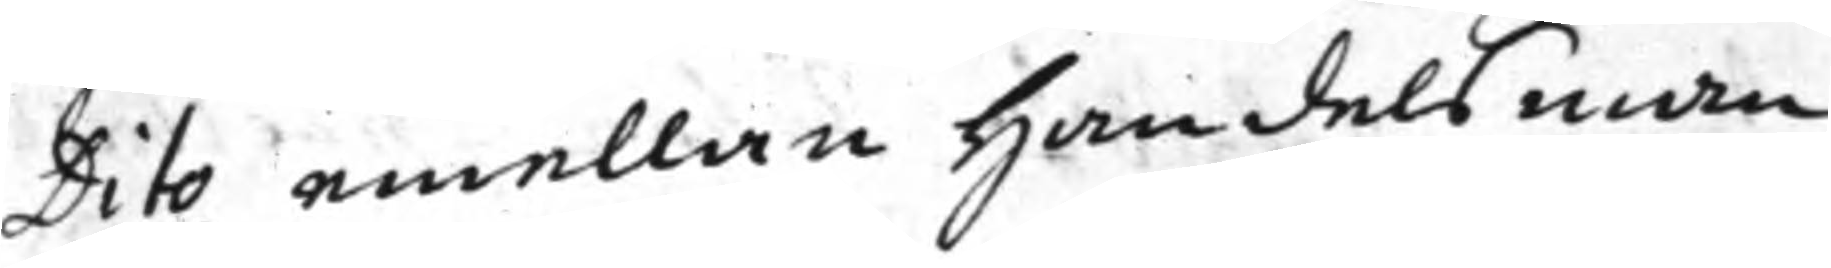Dito emellan Handelsman
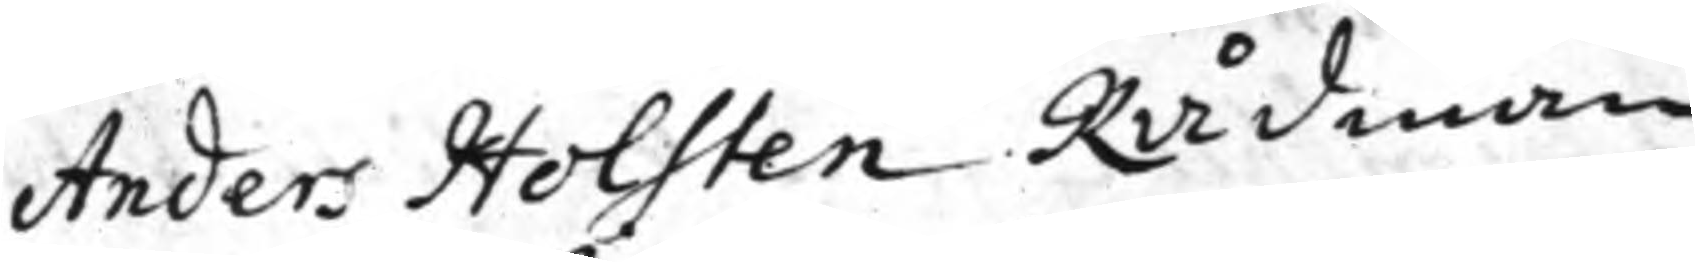Anders Holsten Rådman
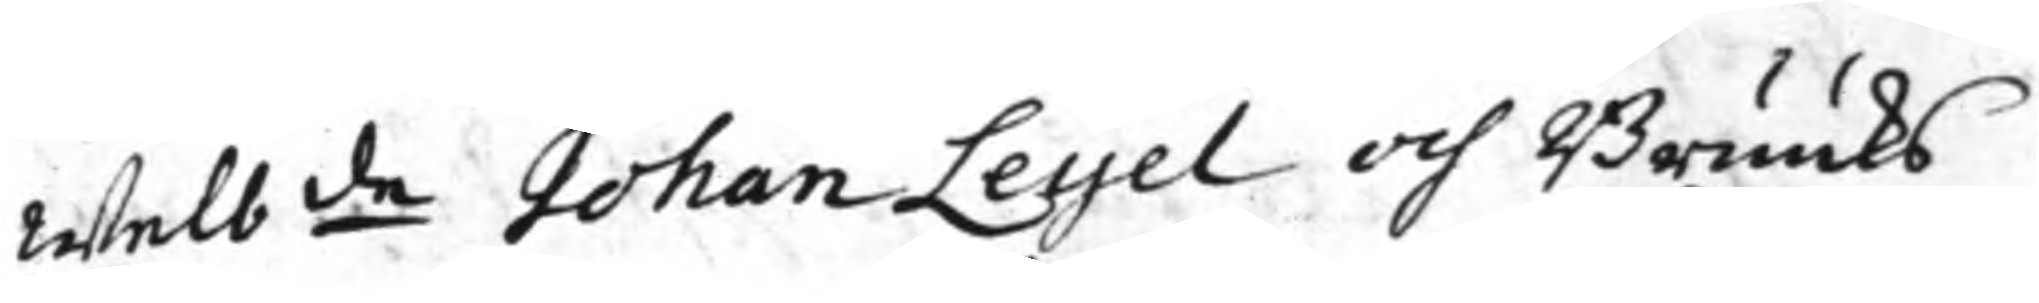Welb.de Johan Leijel och Bruuks
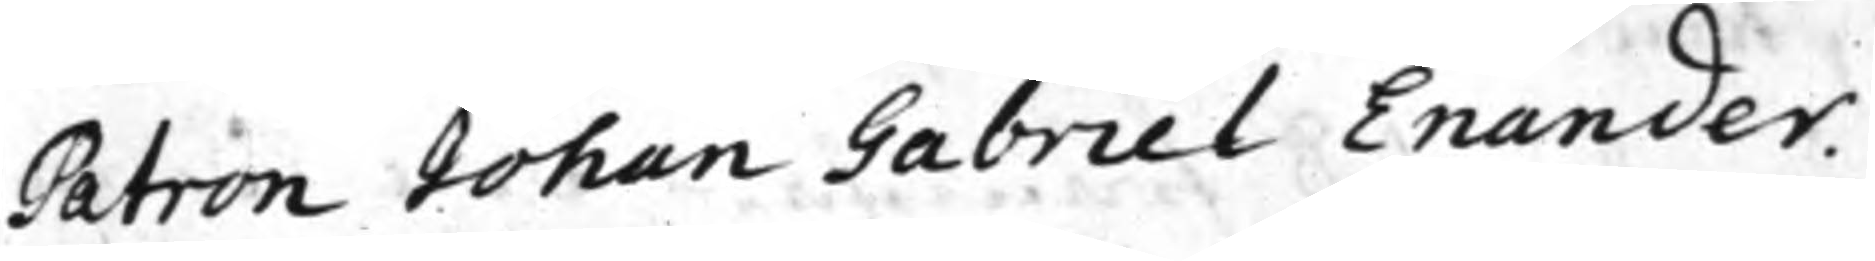Patron Johan Gabriel Enander.
